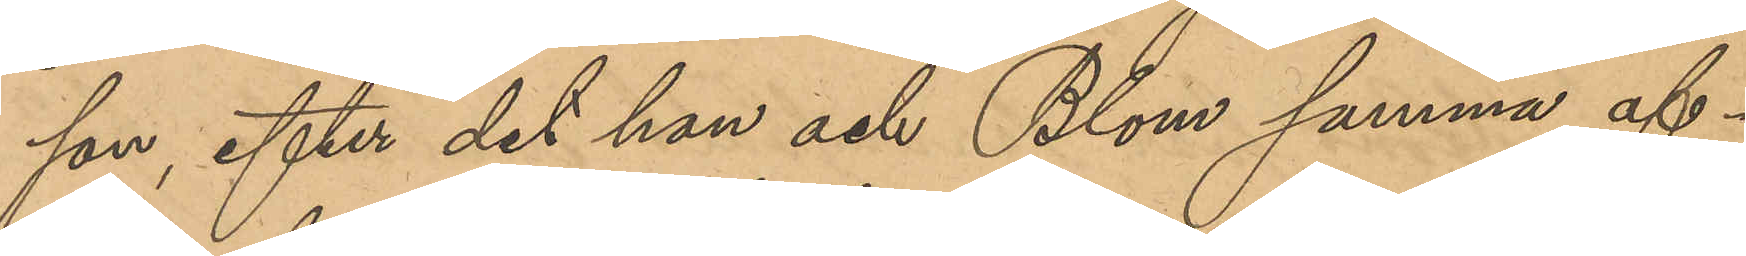son, efter det han och Blom samma af¬
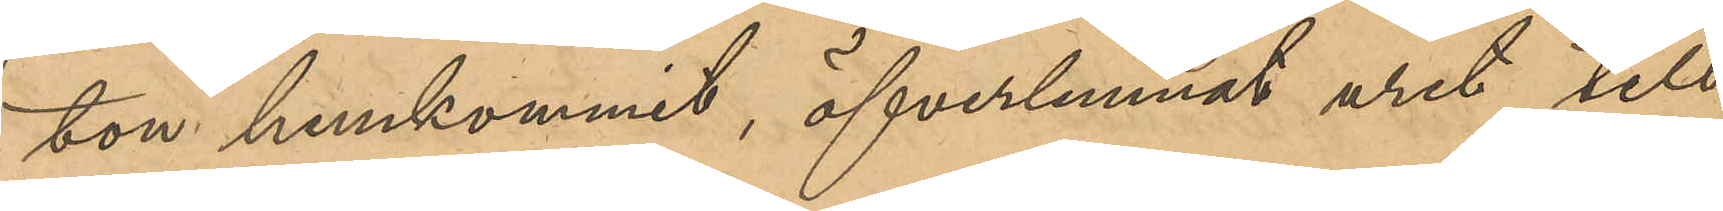ton hemkommit, öfverlemnat uret till
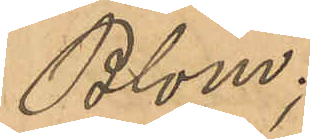Blom;
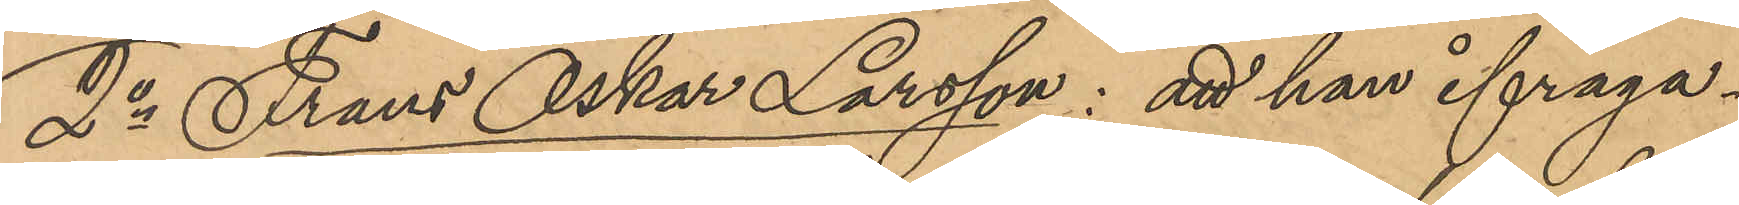2o Frans Oskar Larsson: att han ifråga¬
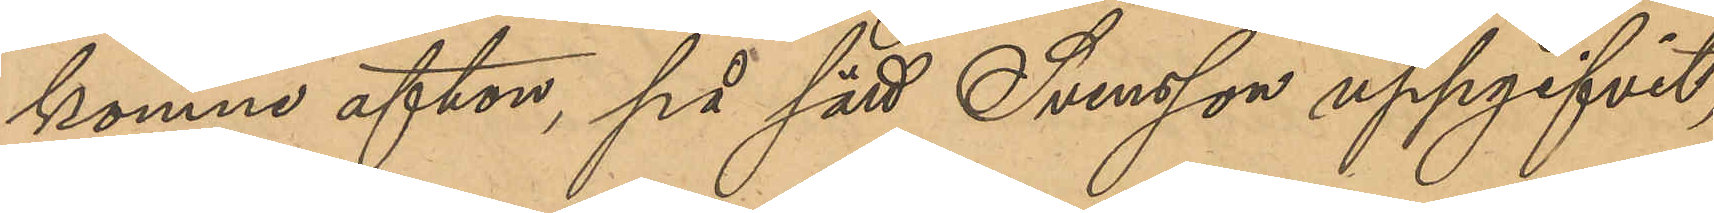komne afton, på sätt Svensson uppgifvit,
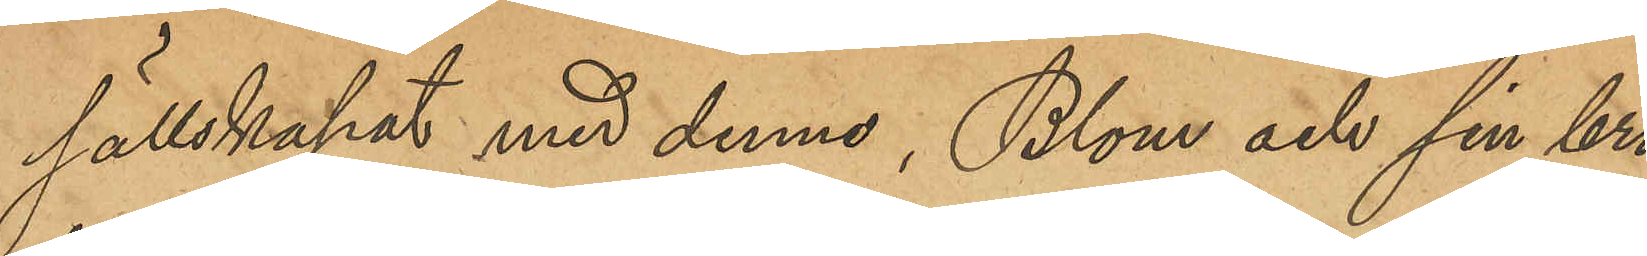sällskapat med denne; Blom och sin bro¬
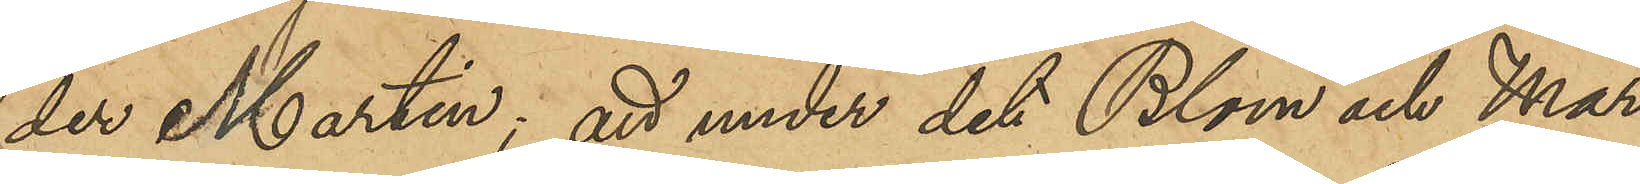der Martin; att under det Blom och Mar¬
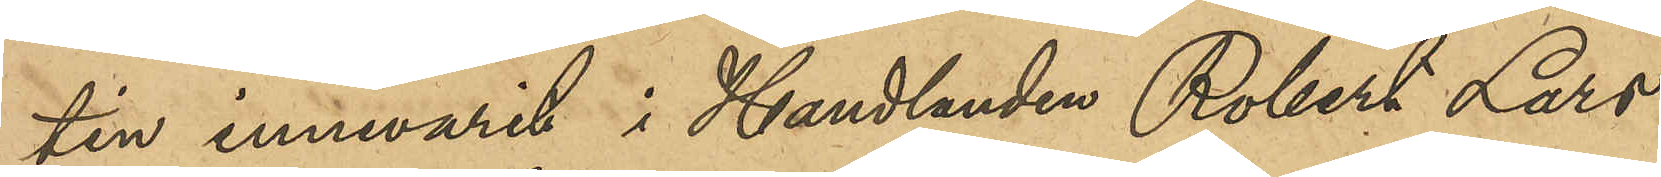tin innevarit i Handlanden Robert Lars¬
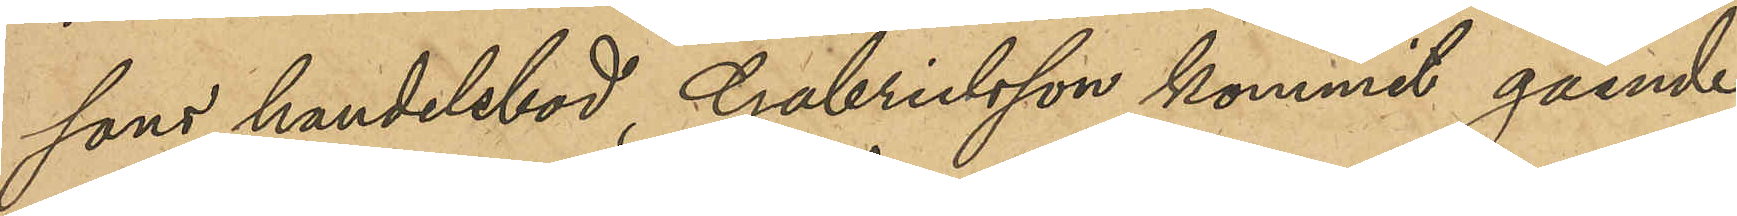sons handelsbod, Gabrielsson kommit gående
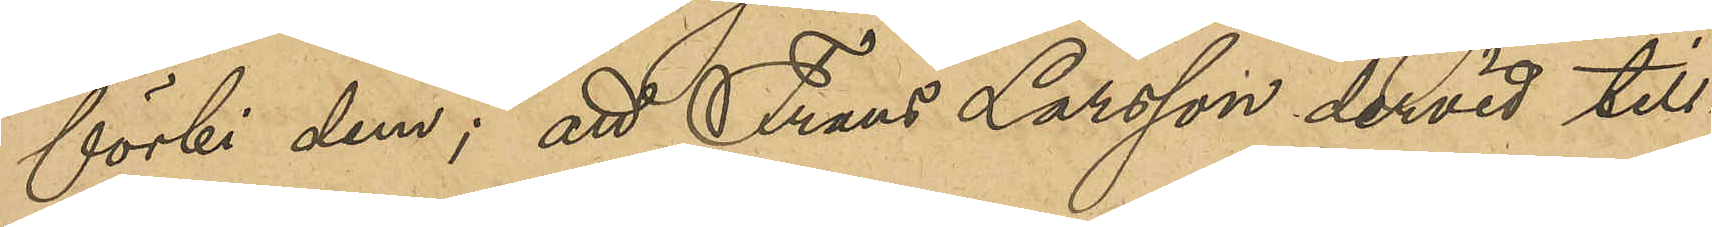förbi dem; att Frans Larsson dervid till¬
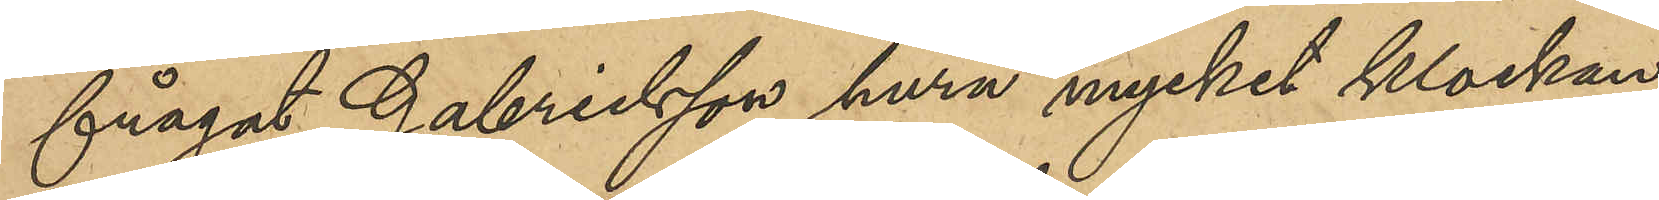frågat Gabrielsson huru mycket klockan
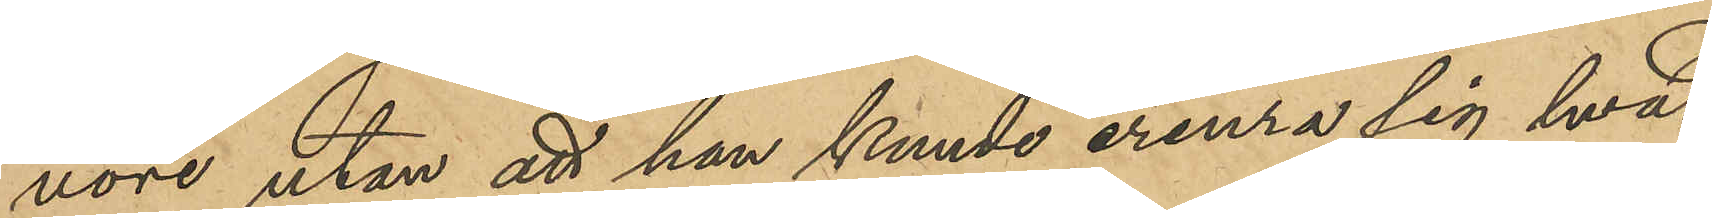vore utan att han kunde erinra sig hvad
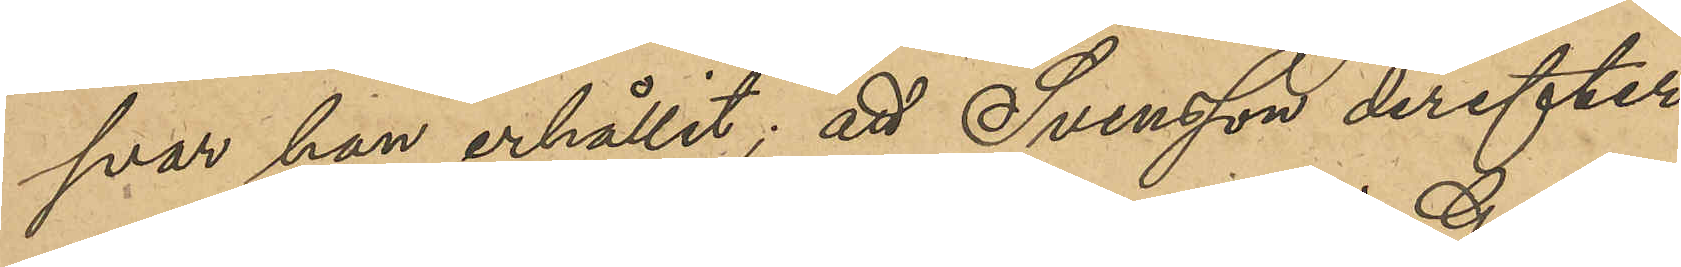svar han erhållit; att Svensson derefter
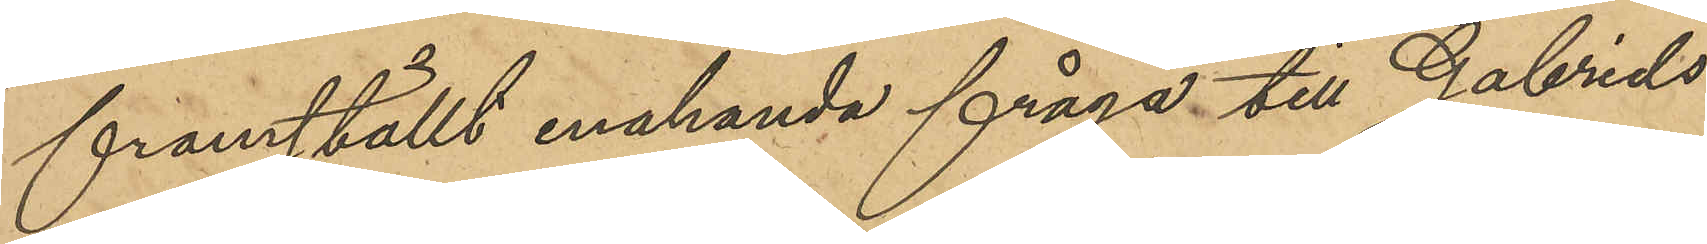framställt enahanda fråga till Gabriels¬
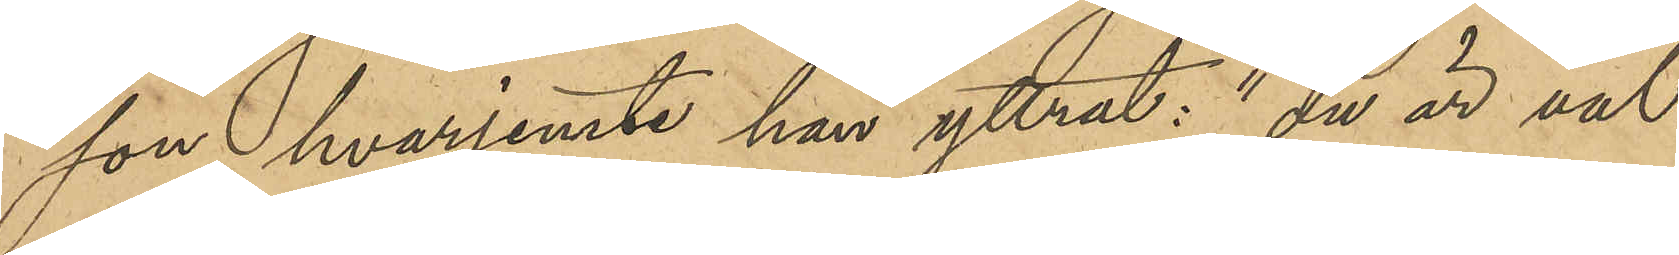son, hvarjemte han yttrat: "du är väl
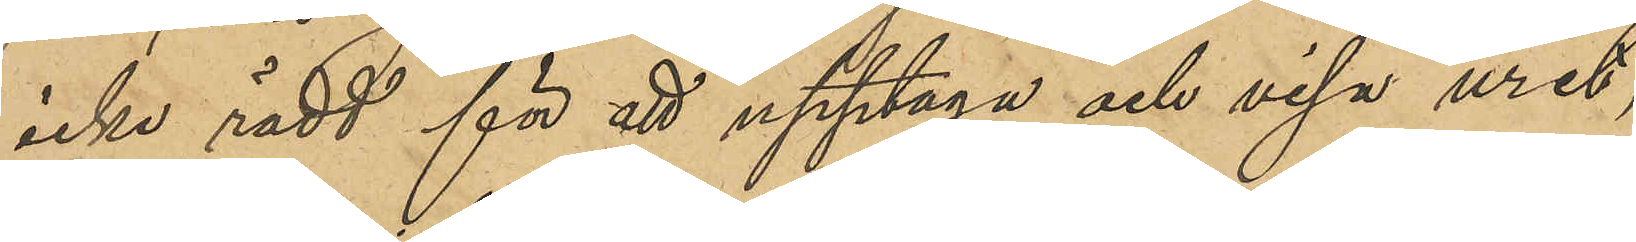icke rädd för att upptaga och visa uret";
